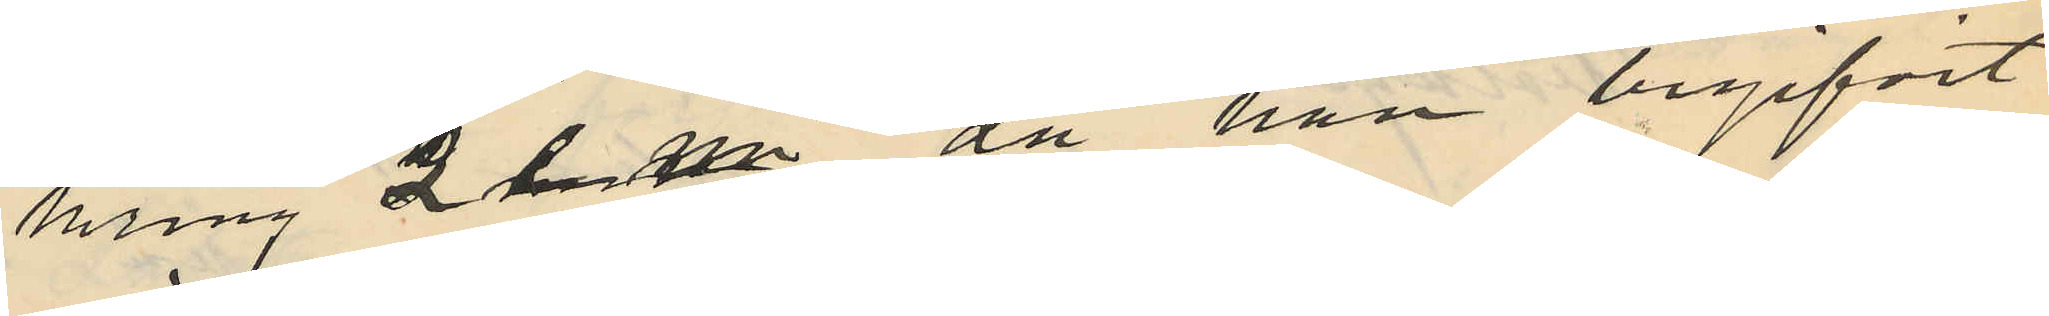kring 2 e m då han begifvit
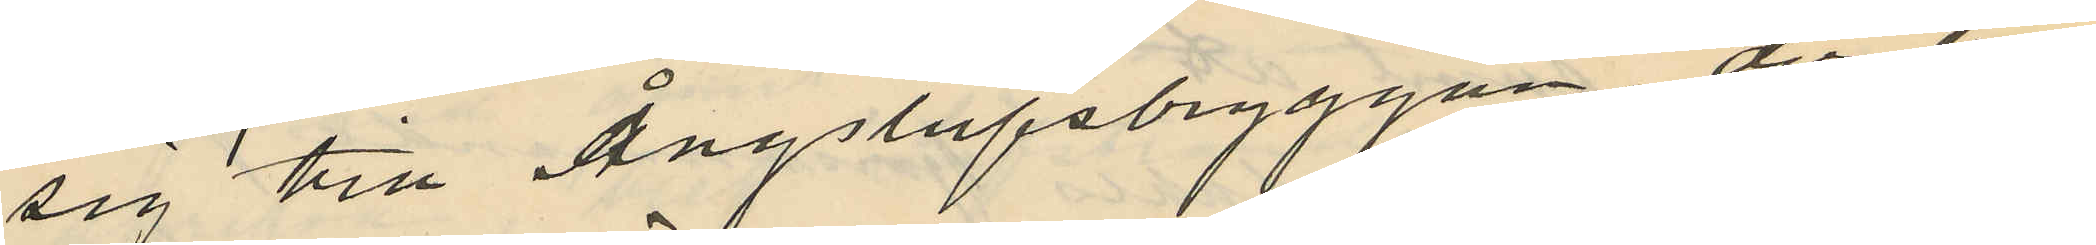sig till Ångslupsbryggan, der han
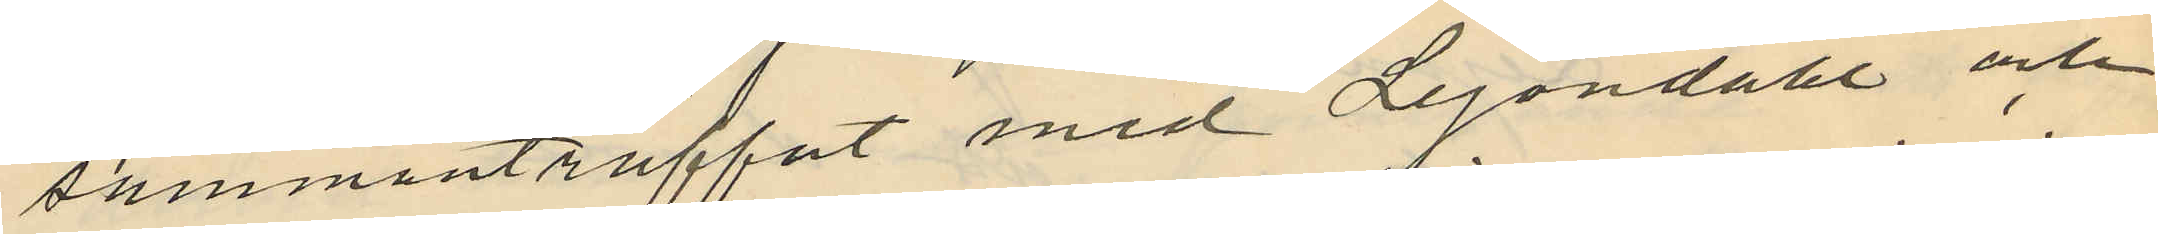sammanträffat med Lejondahl och
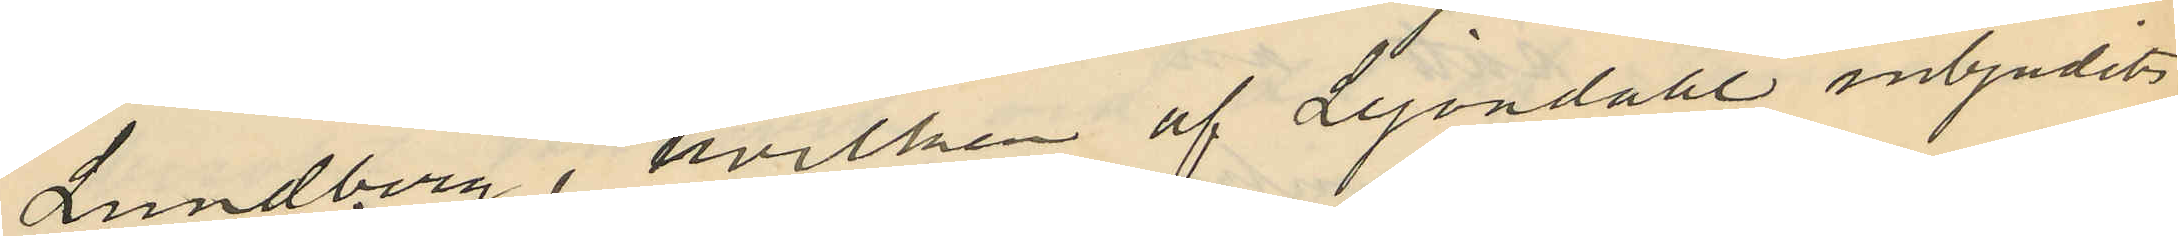Lundberg, hvilken af Lejondahl inbjudits
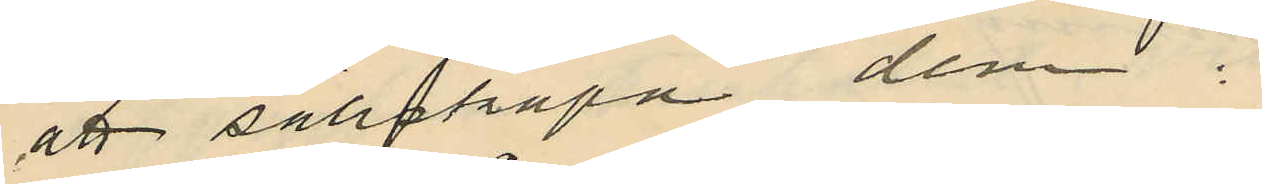att sällskapa dem. 
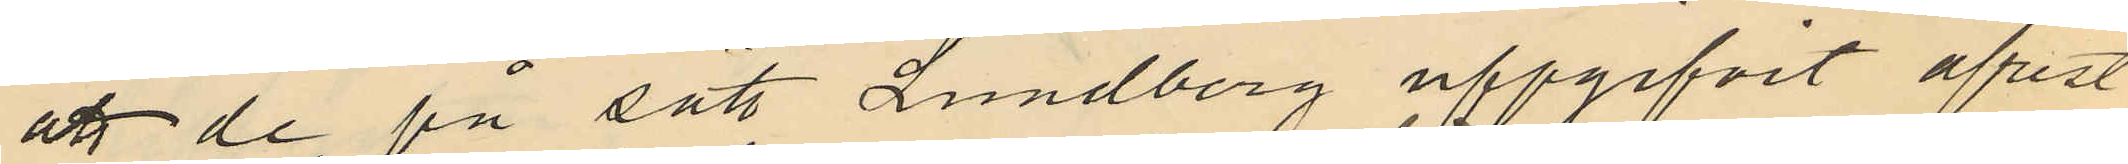att de på sätt Lundberg uppgifvit afrest
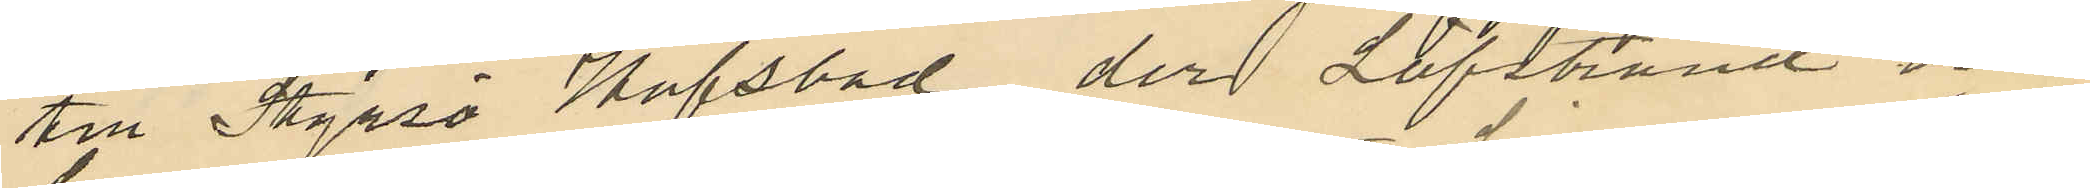till Styrsö Hafsbad, der Löfstrand och
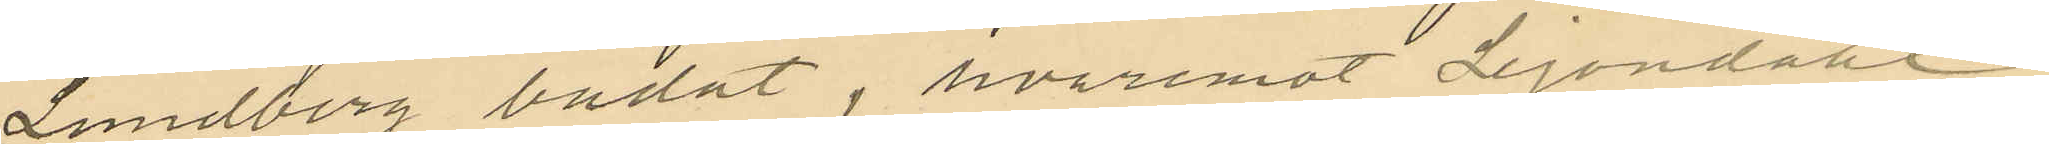Lundberg badat, hvaremot Lejondahl,
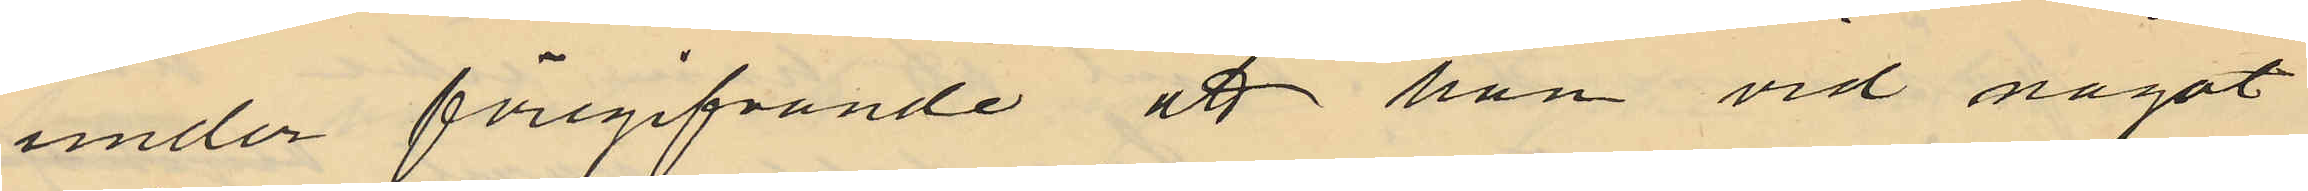under föregifvande att han vid något
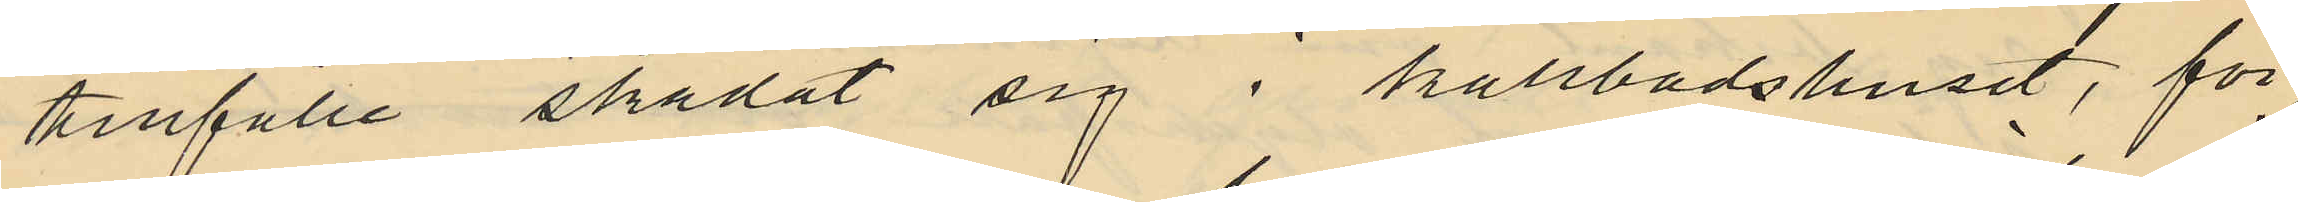tillfälle skadat sig i kallbadshuset, för
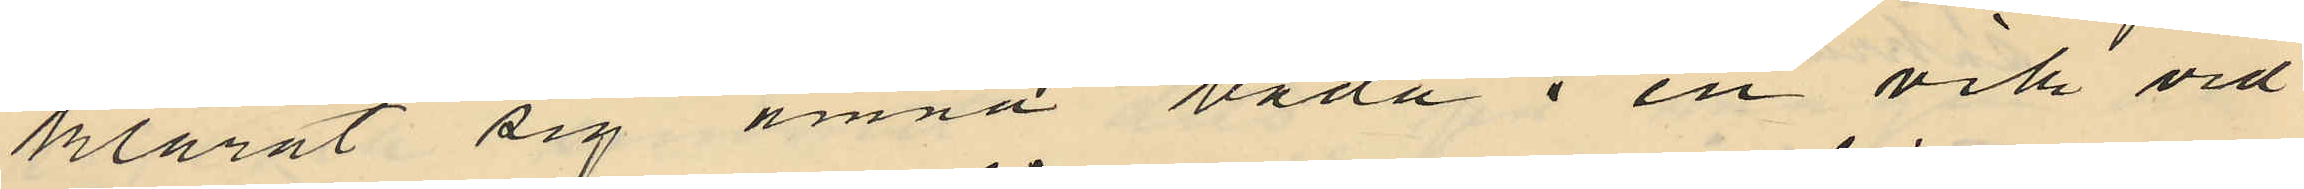klarat sig ämna bada i en vik vid
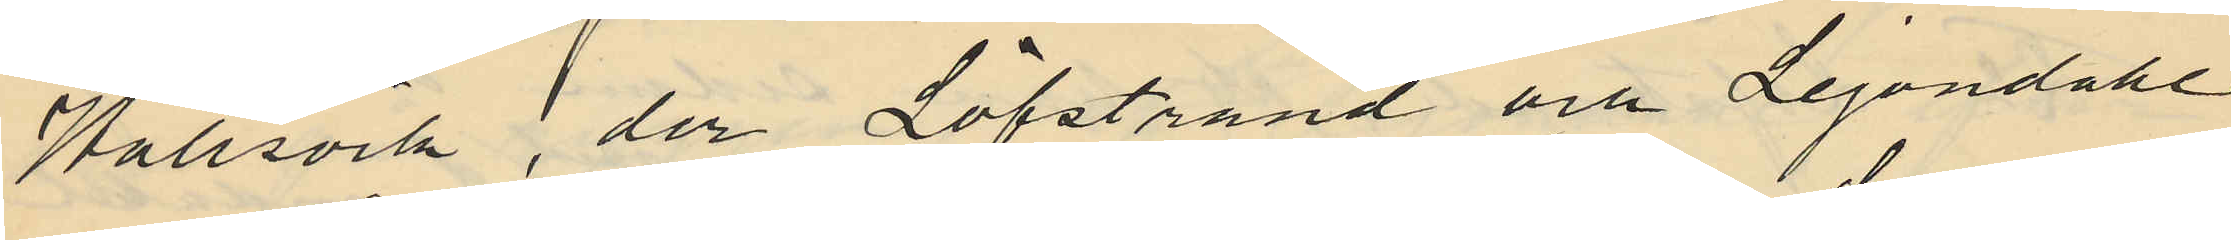Hallsvik, der Löfstrand och Lejondahl
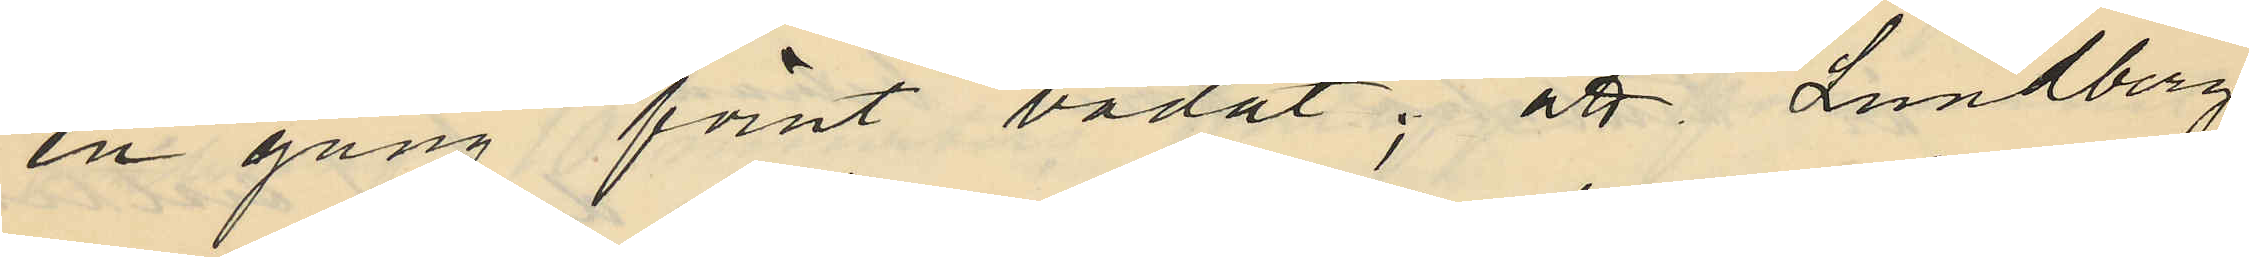en gång förut badat; att Lundberg
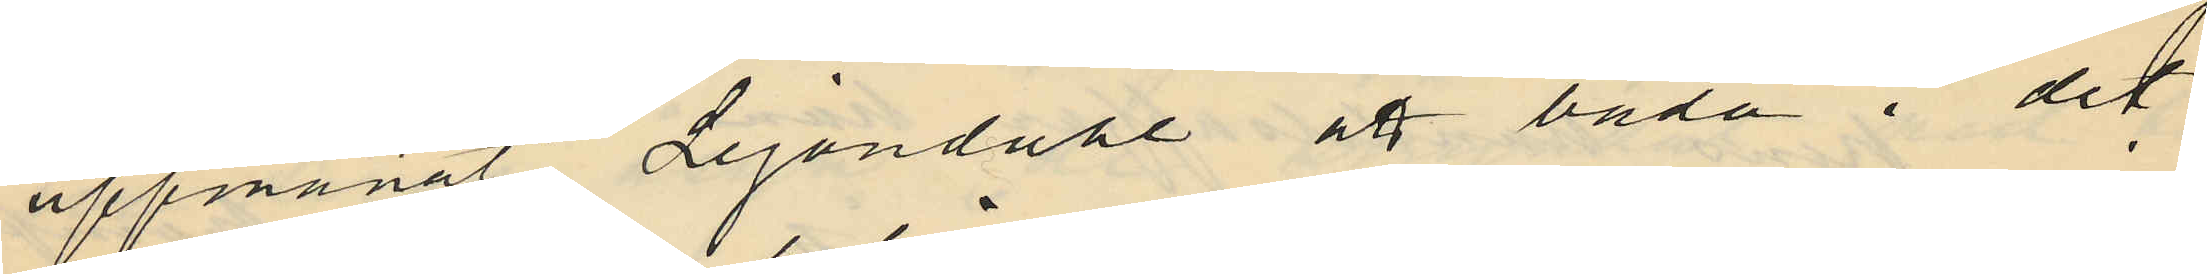uppmanat Lejondahl att bada i det
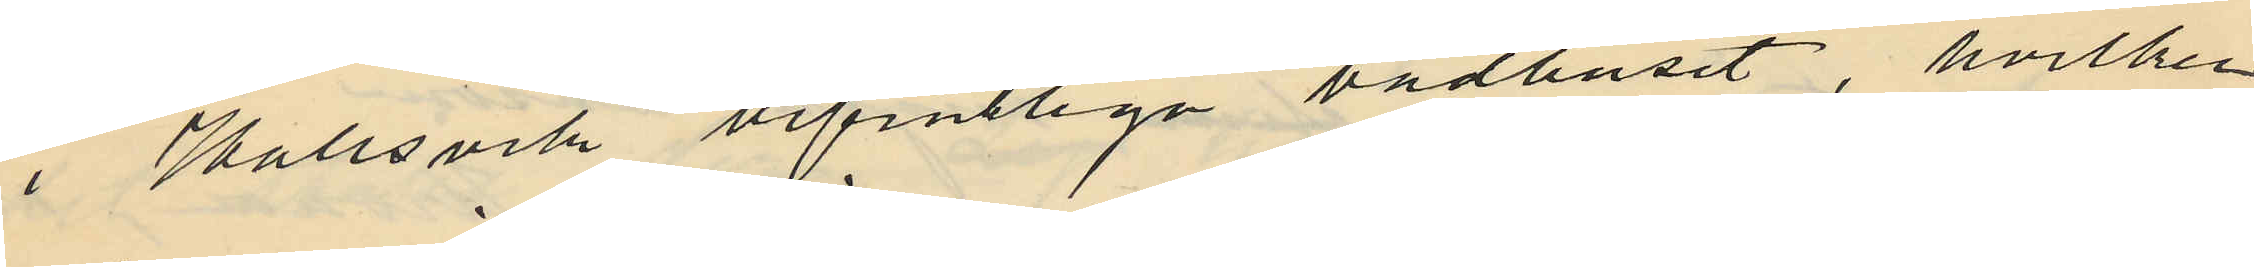i Hallsvik befintliga badhuset, hvilken
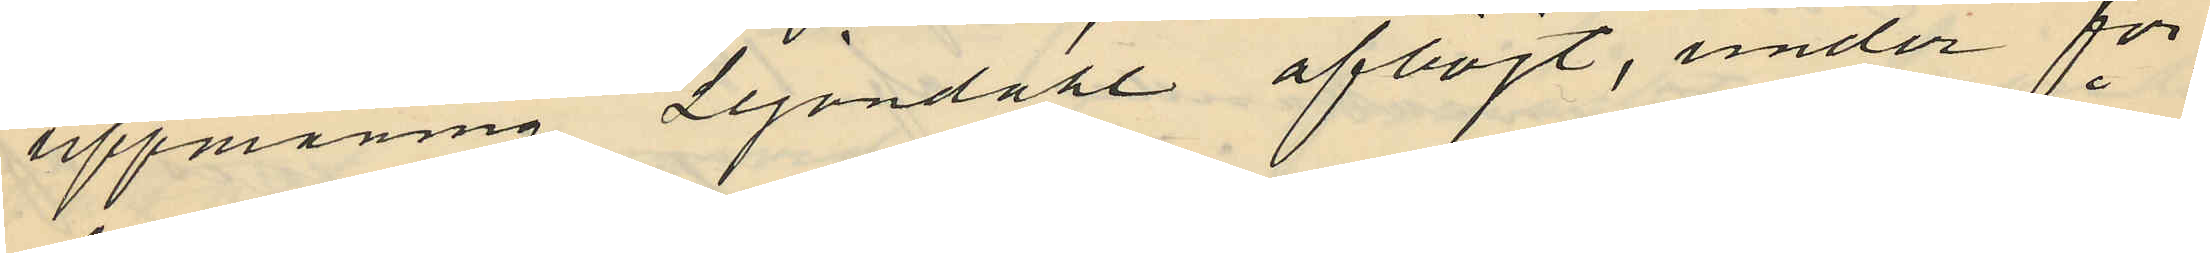uppmaning Lejondahl afböjt, under för¬
